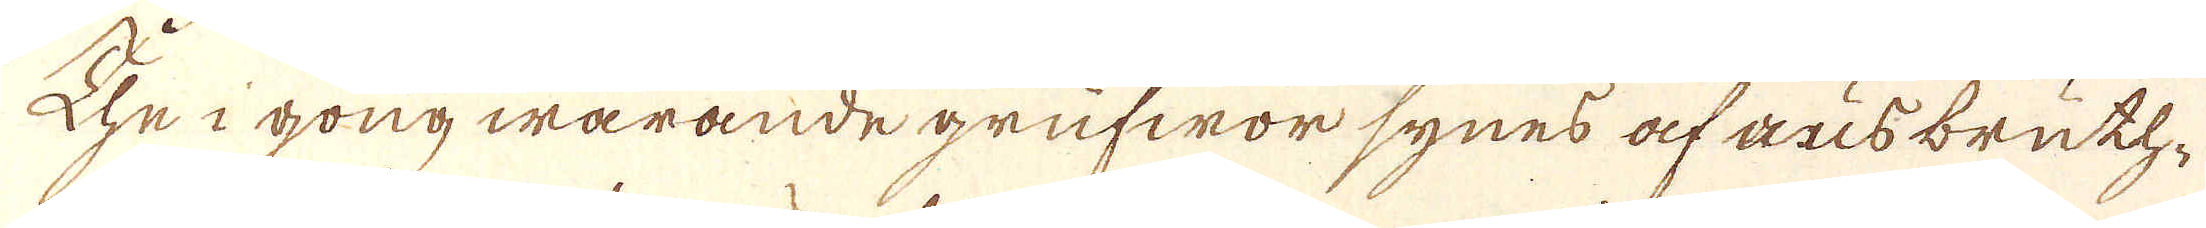The i gongwarande grufwor synes af ausbruth-
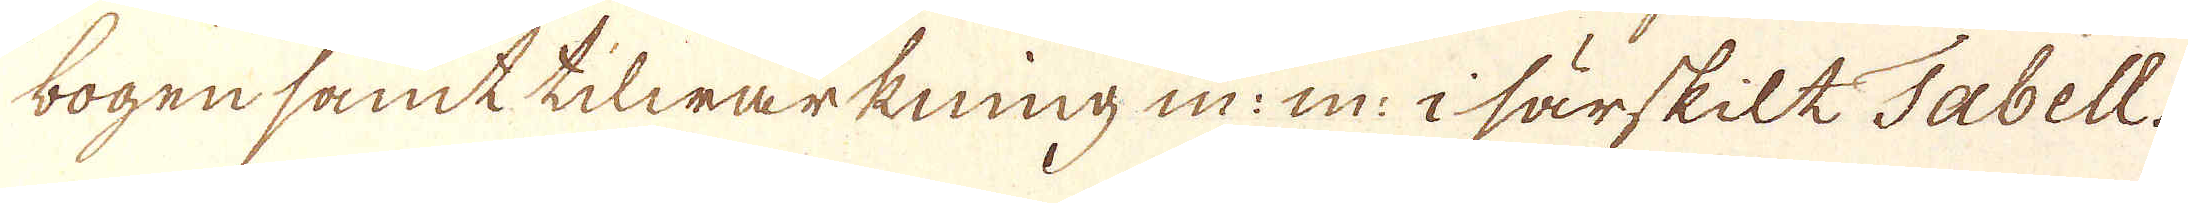bogen samt tilwärkning m: m: i särskilt Tabell.
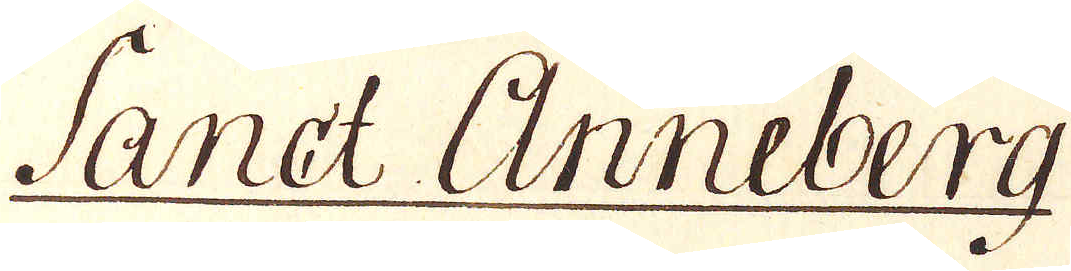Sanct Anneberg
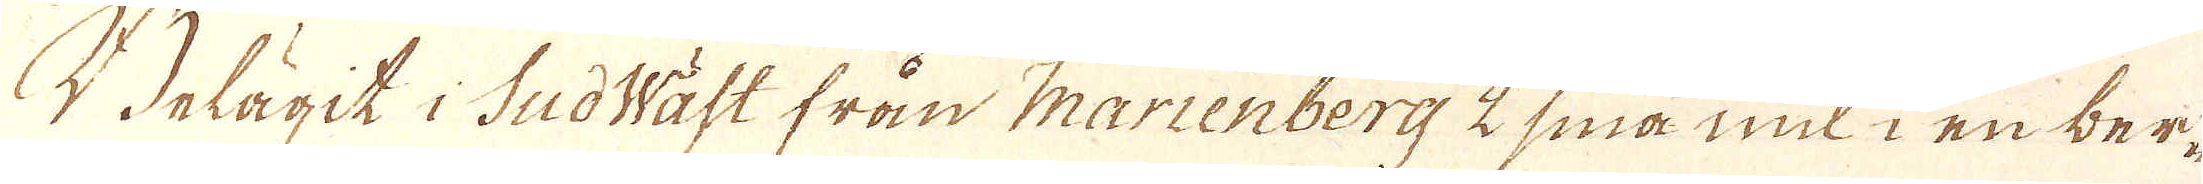Belägit i SudWäst från Marienberg 2 sina mil i en ber-
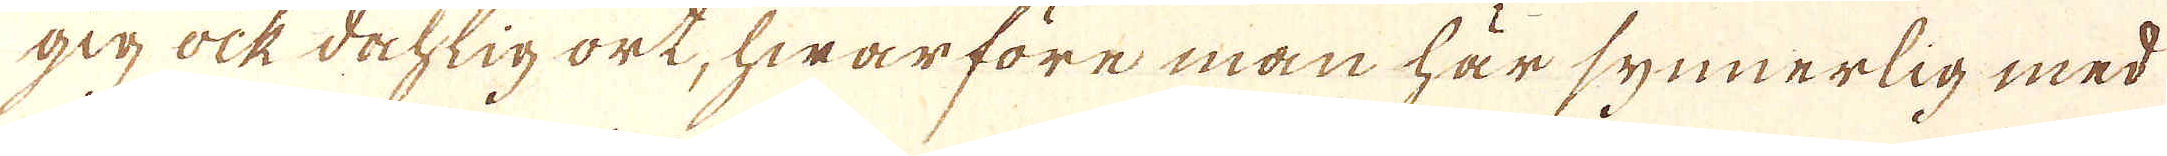gig ock dochlig ort, hwar före man här synnerlig med
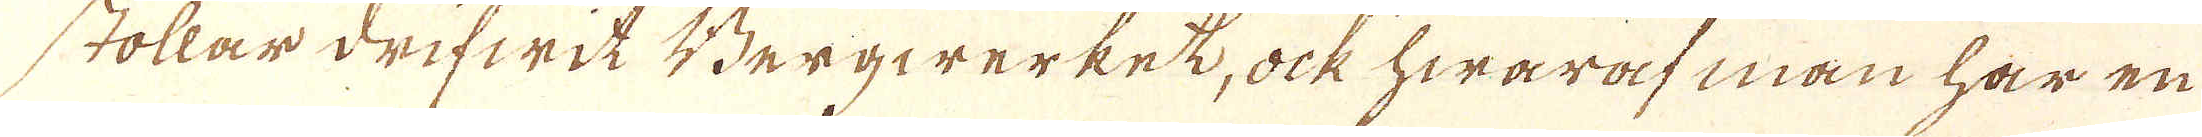stollar drifwit Bergwerkek, ock hwaraf man har en
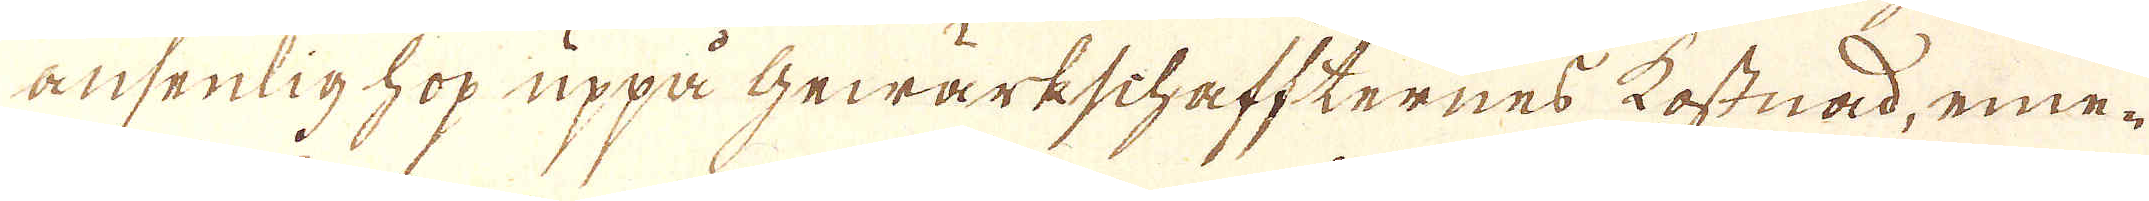ansenlig hop uppå Gewärkschaffternes kostnad, eme-
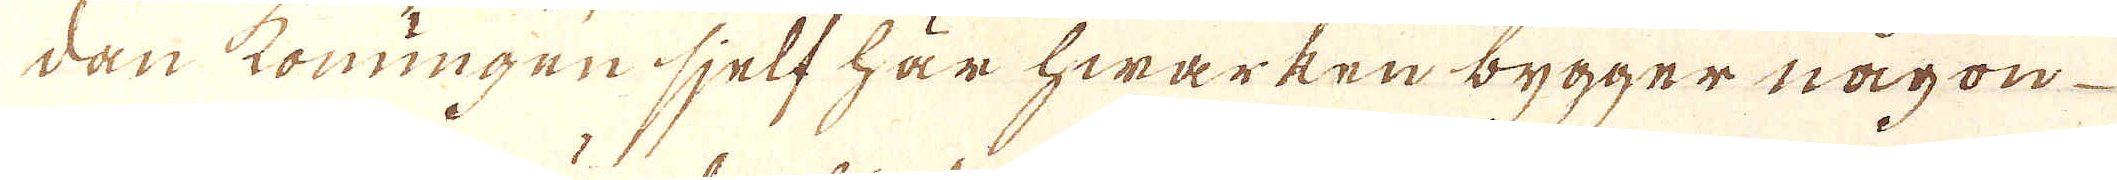dan konungen sjelf här hwarken bygger någon
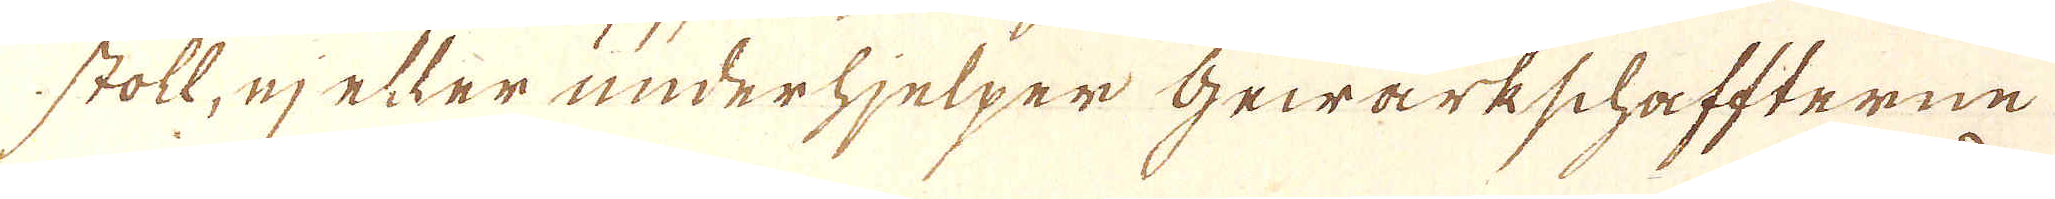stoll, ej elter underhjelper Gewärkschaffterne
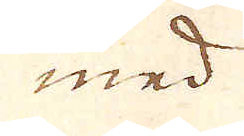med
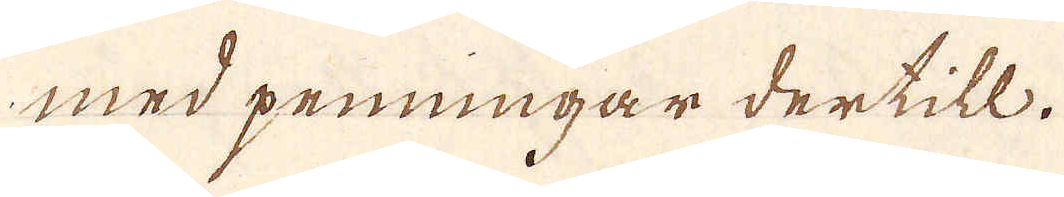med penningar dertill.
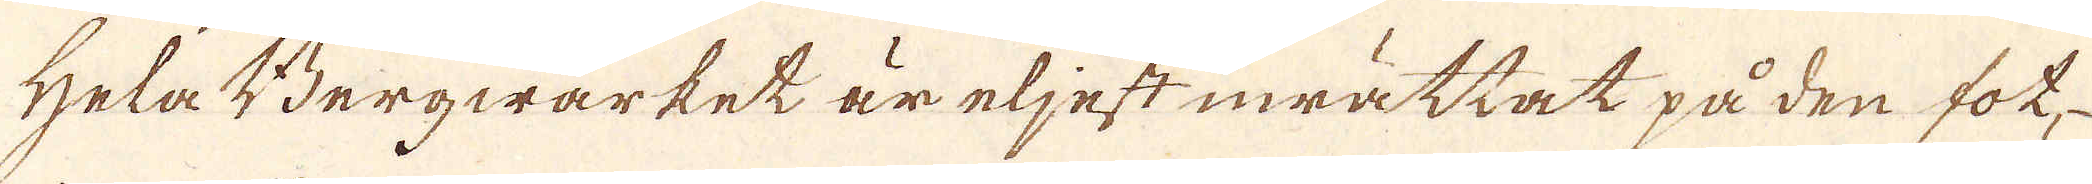Hela Bergwärket är eljest inrättat på den fot-
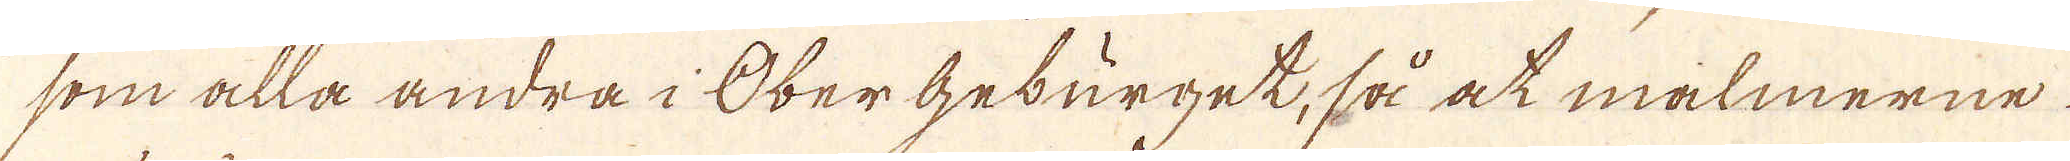som alla andra i Obergeburget, så at malmerne
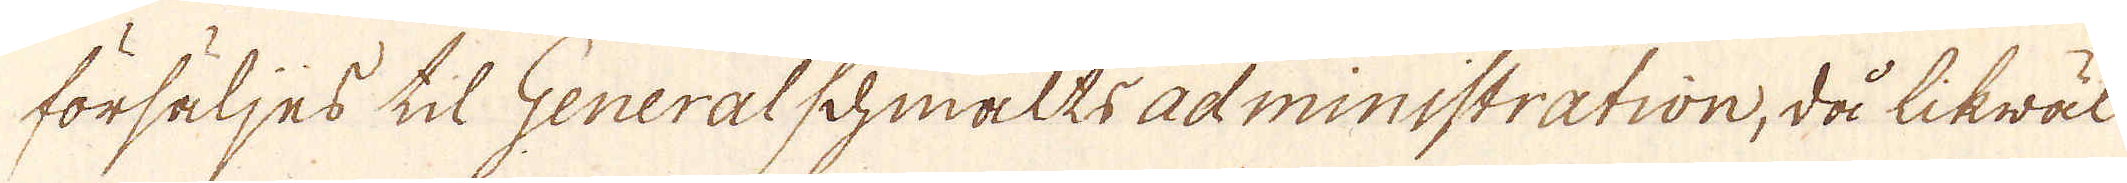försäljes til Generalschmaltsadministration, då likwäl
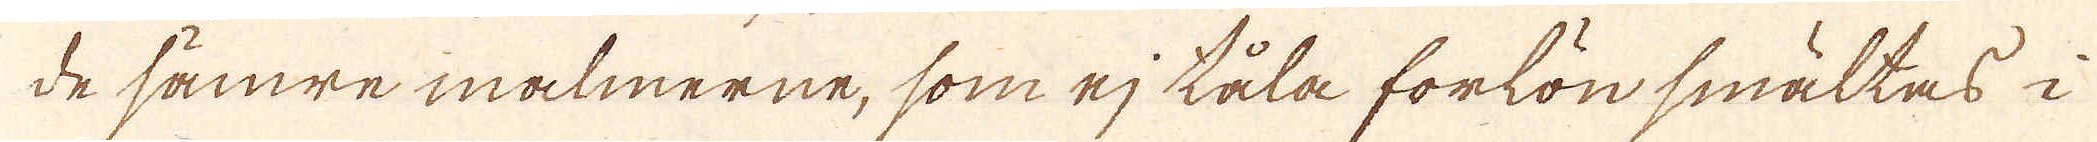de sämre malmerne, som ej tåla forlön smältas i
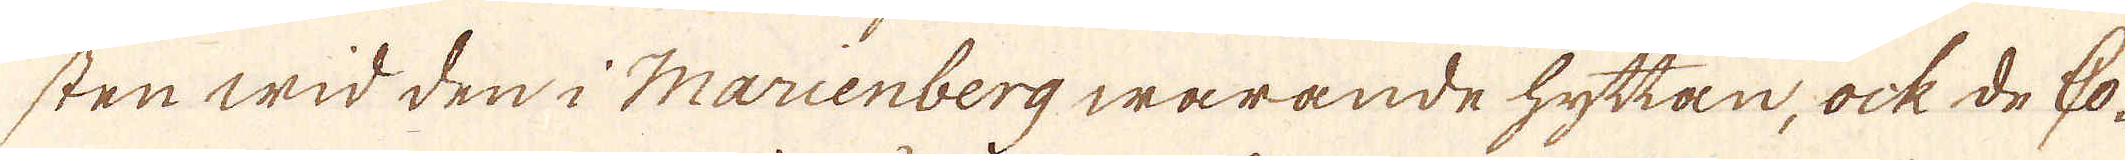sten wid den i Marenberg warande hyttan, ock de ho-
